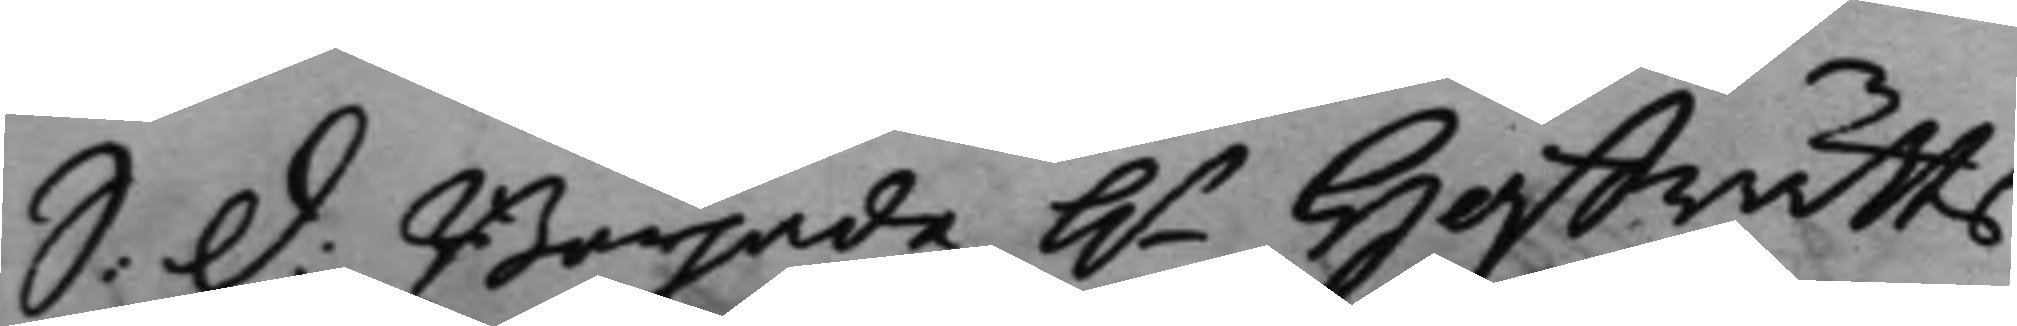S. d: Började h.r Hoffrätts¬
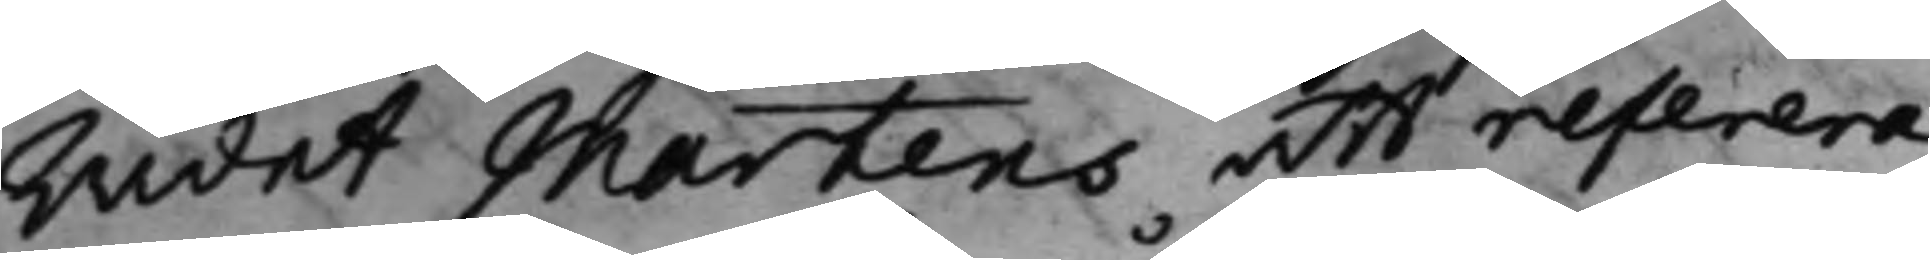Rådet Martens att referera
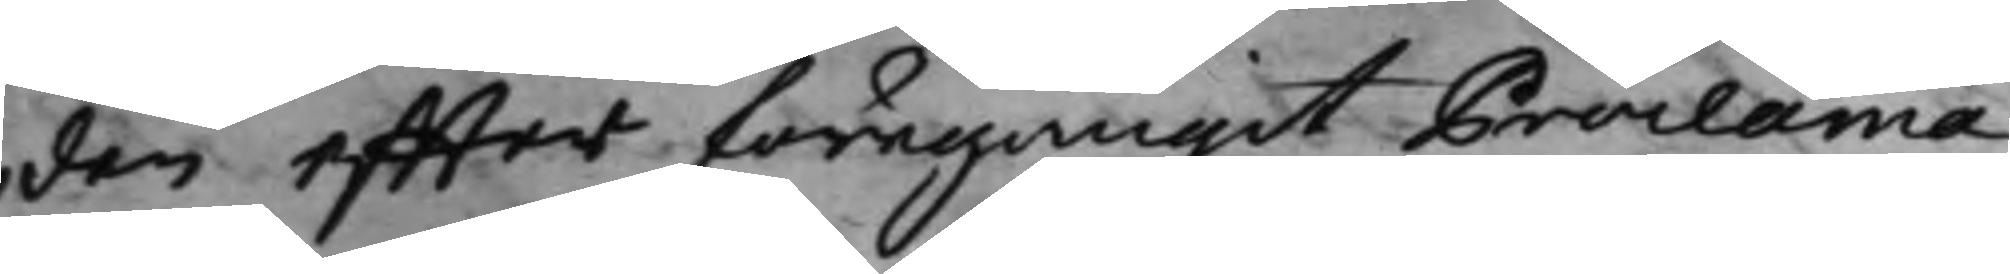den effter föregångit Proclama
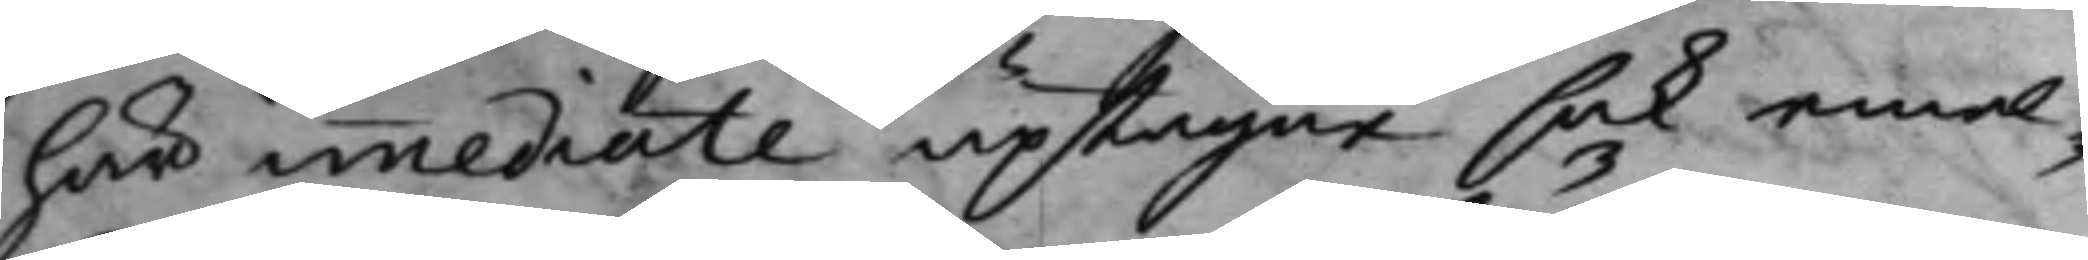här immediate uptagne sak emel¬
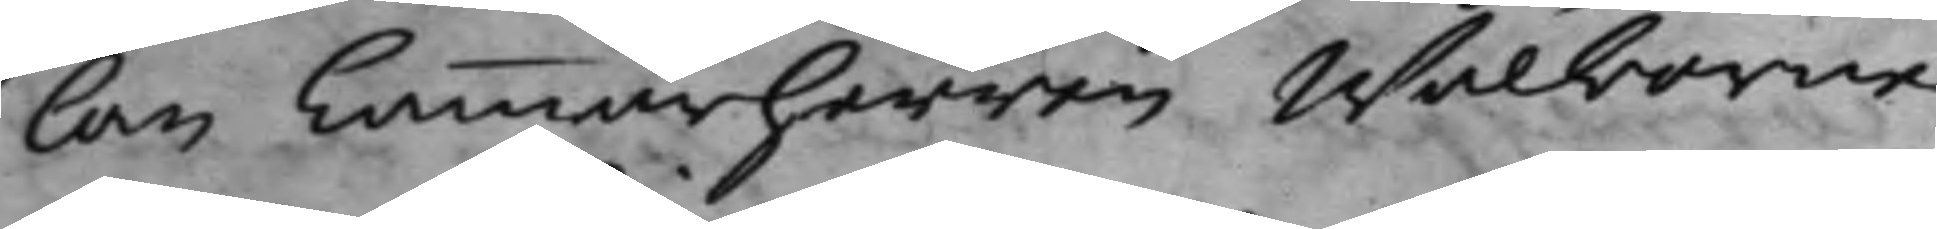lan Cammarherren Wälborne
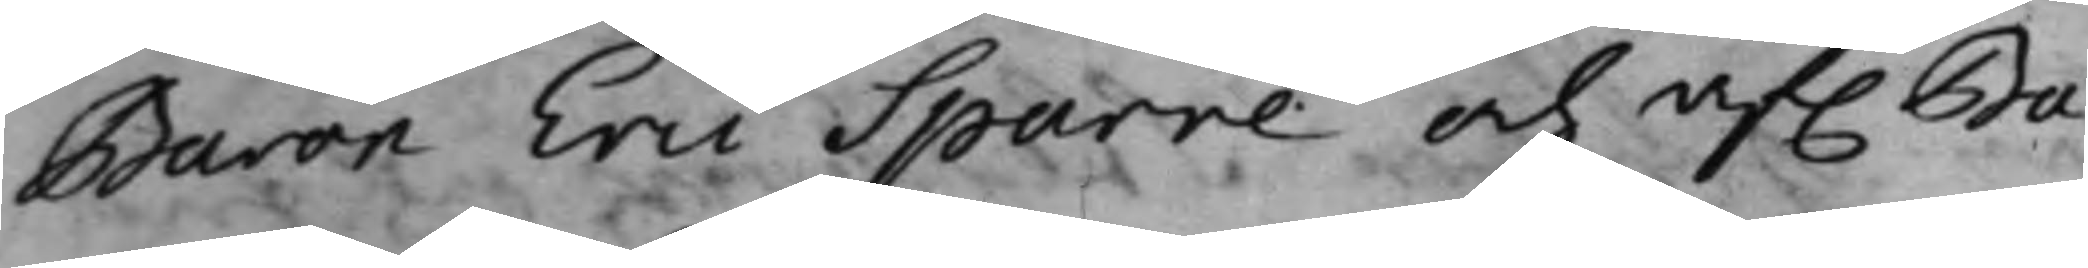Baron Eric Sparre och af. Ba¬
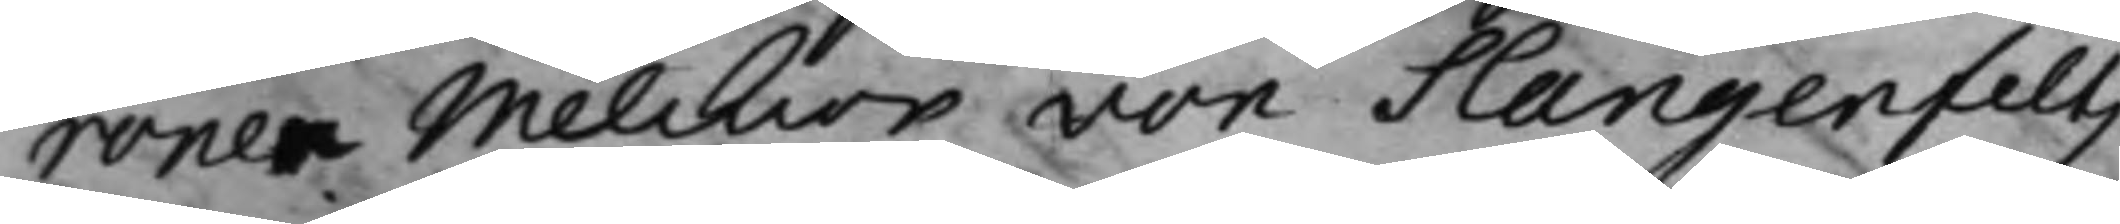ronen Melckior von Slangenfelts
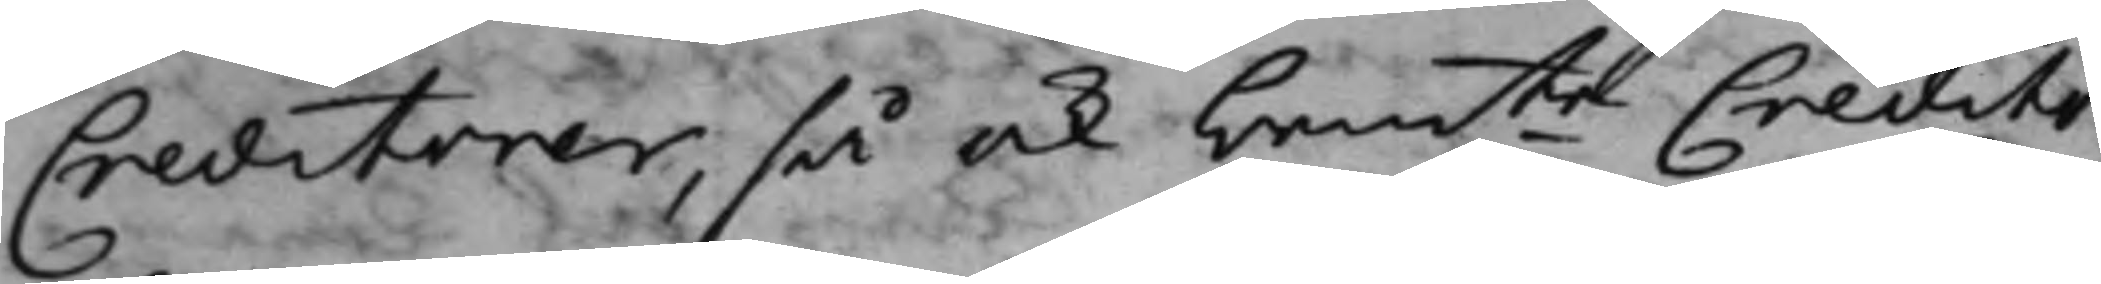Creditorer, så ock bemte Credito¬
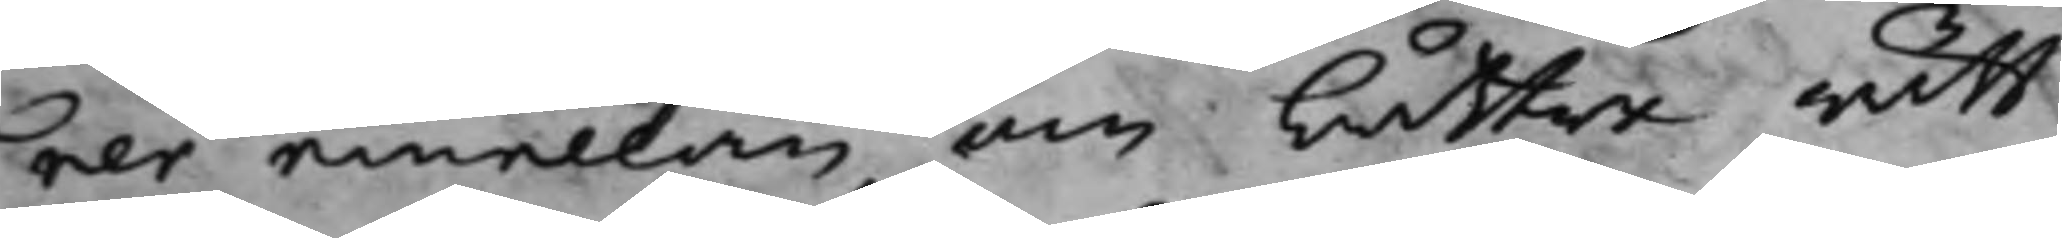rer emellan, om bättre rätt
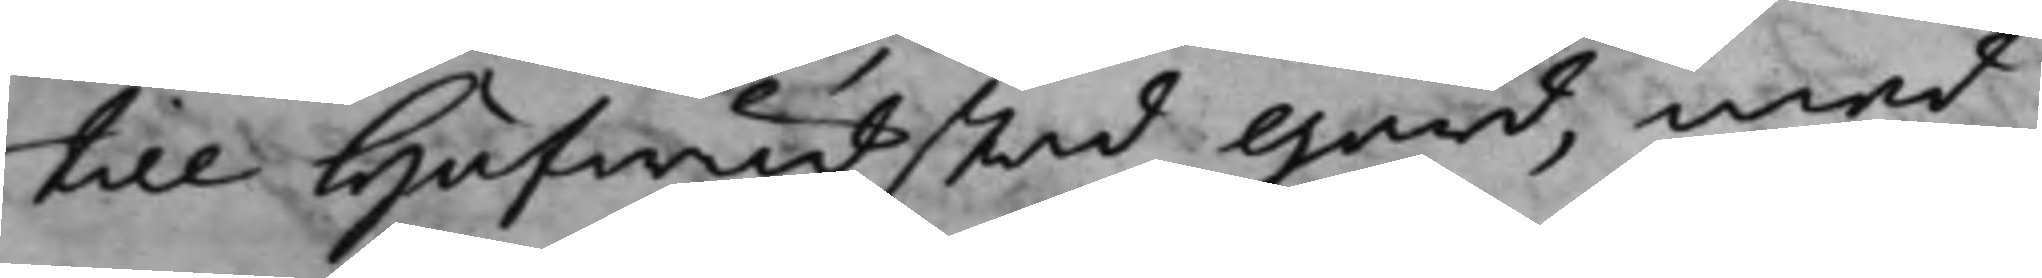till Hufwudstad gård, med
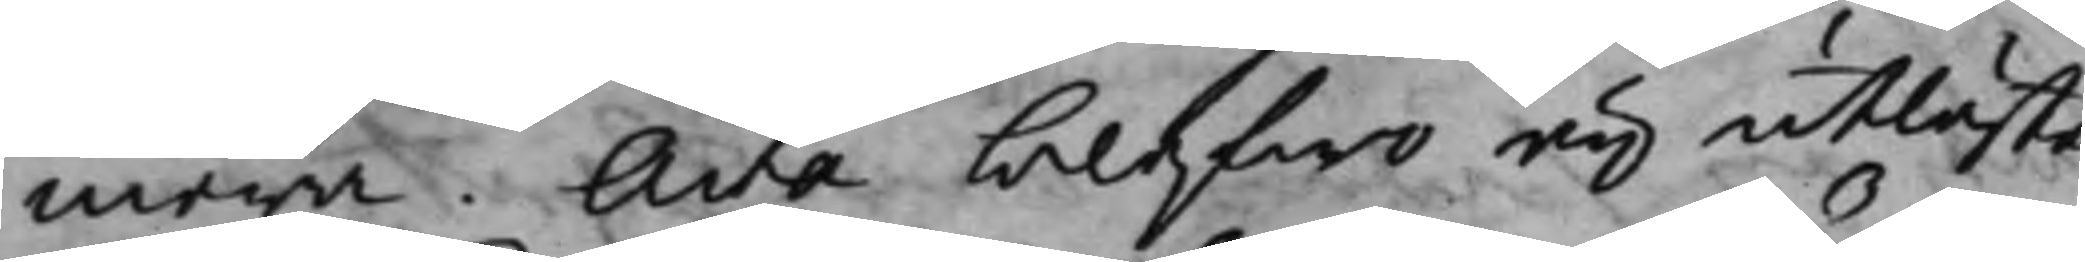mera. Acta blefwo eij utläste
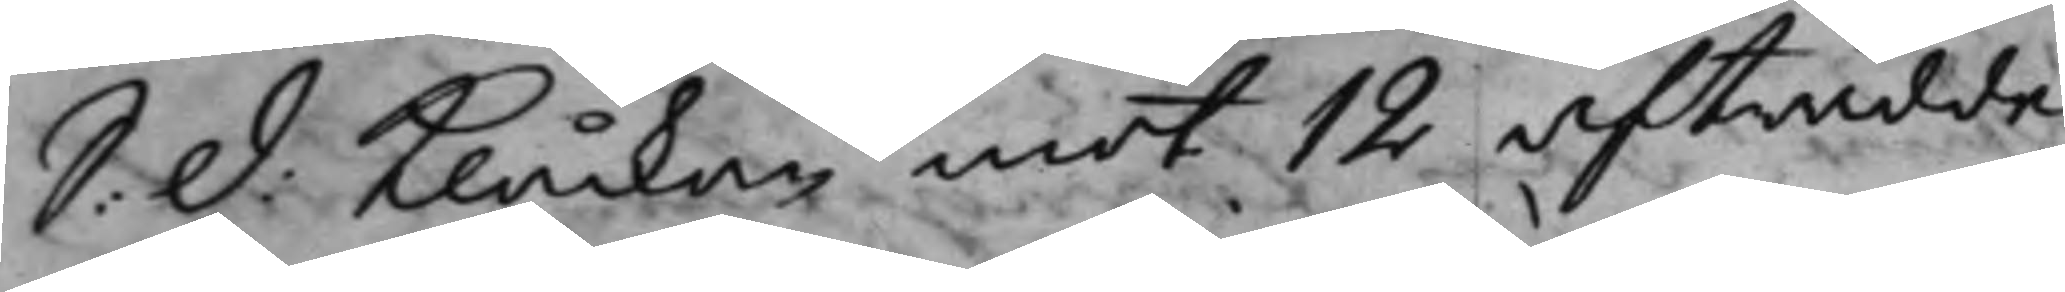S: D: Klåckan mot 12 afträdde
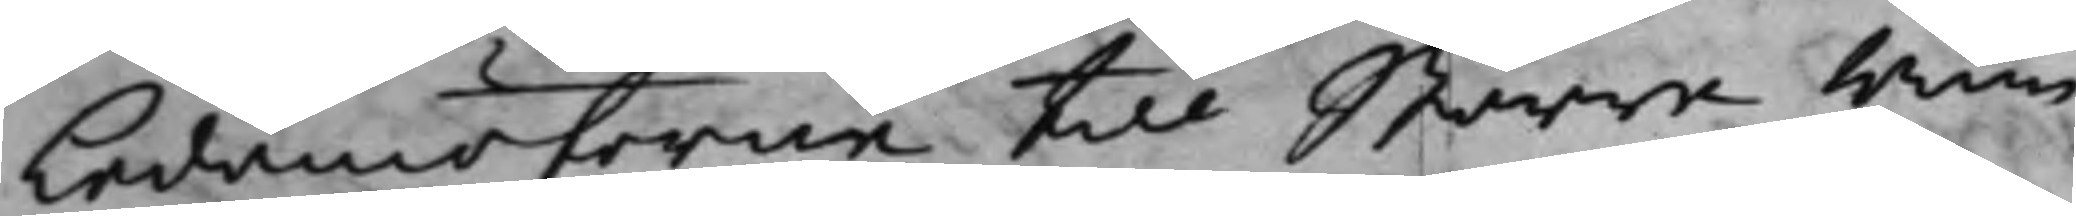Ledamöterne till Större Rum¬
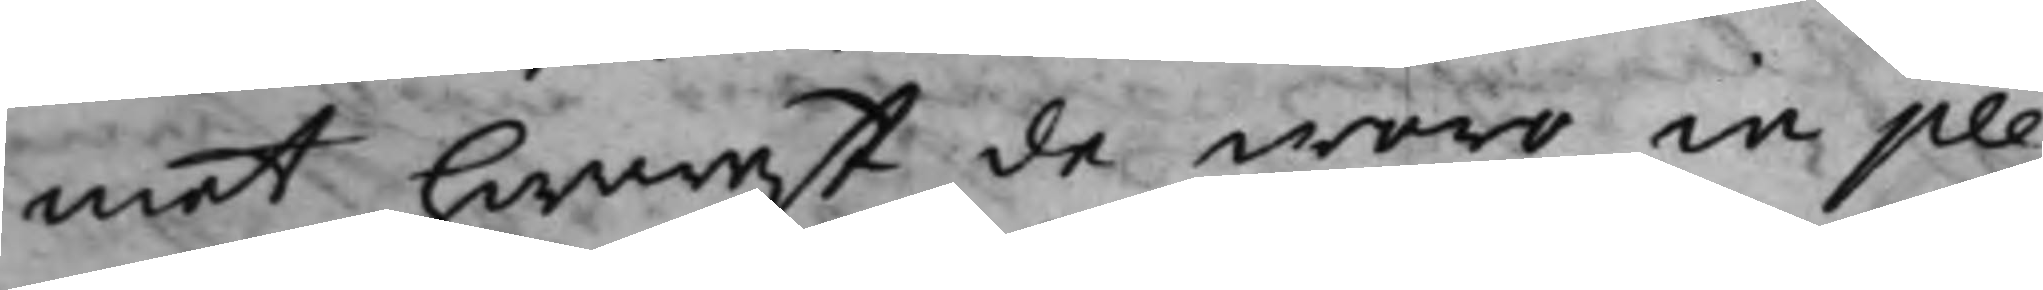met hwarest de woro in ple¬
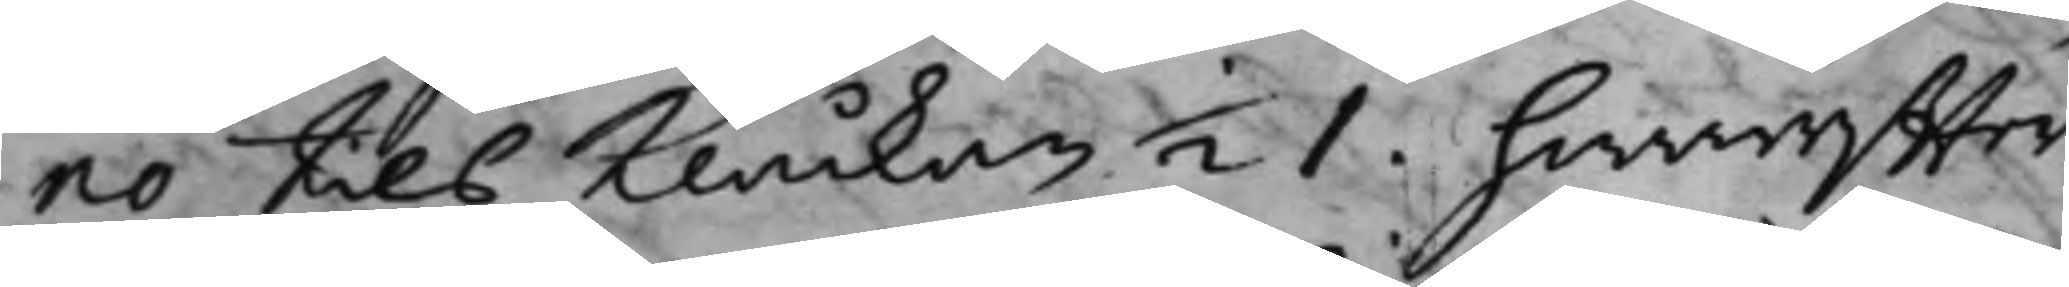no tills Klåckan 1/2 1. hwareffter
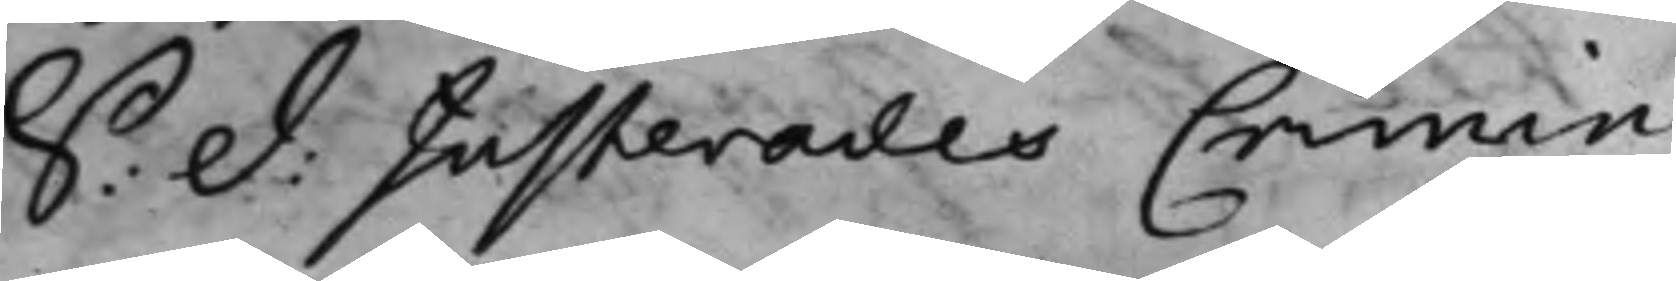S: d: Justerades Crimin:
